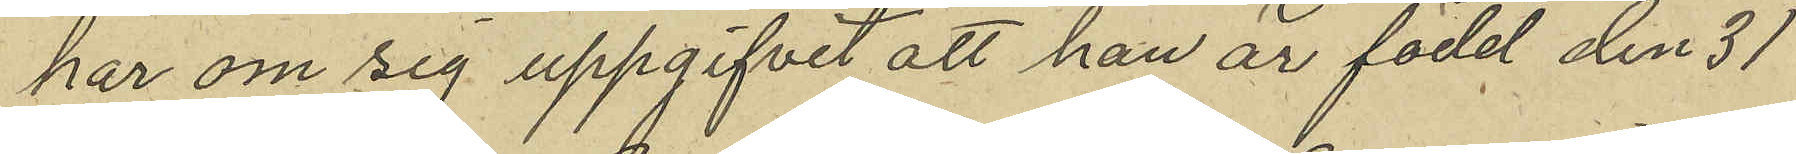har om sig uppgifvit att han är född den 31
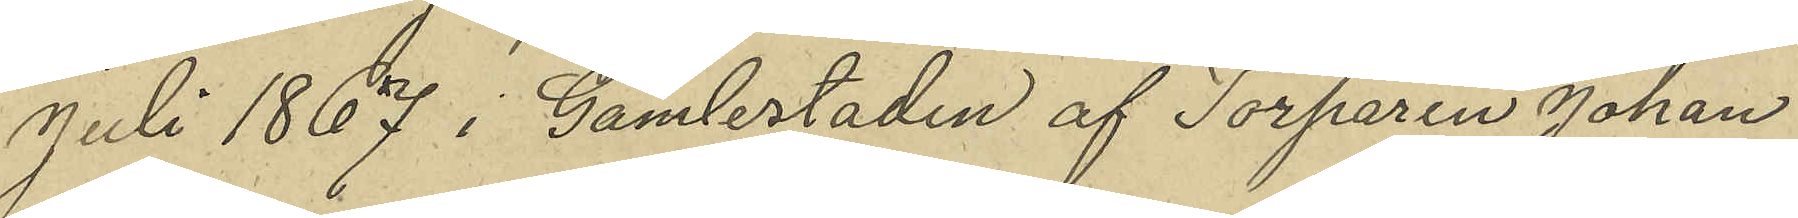Juli 1867 i Gamlestaden af Torparen Johan
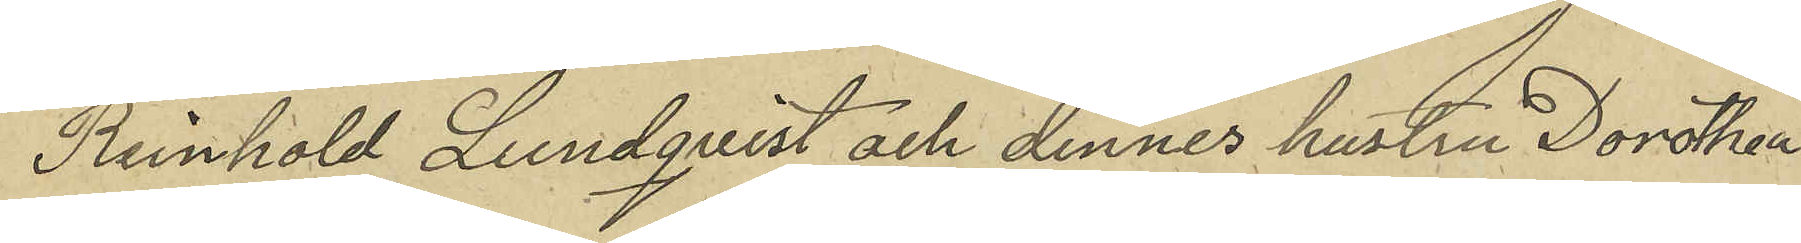Reinhold Lundqvist och dennes hustru Dorothea
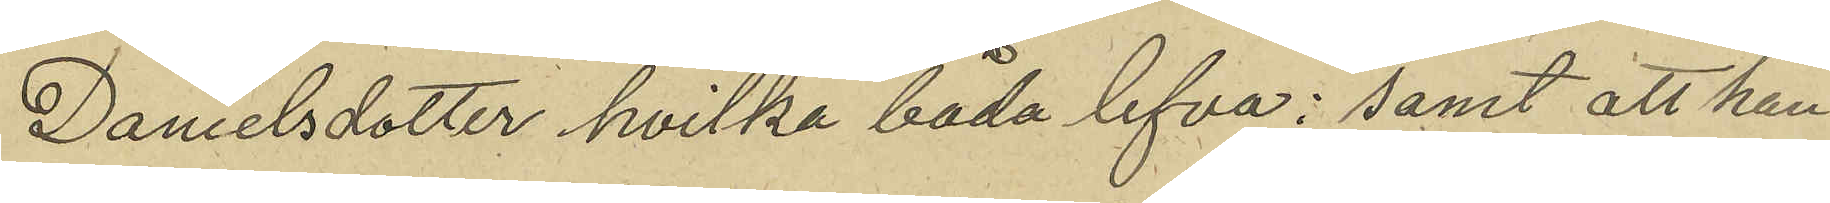Danielsdotter, hvilka båda lefva; samt att han
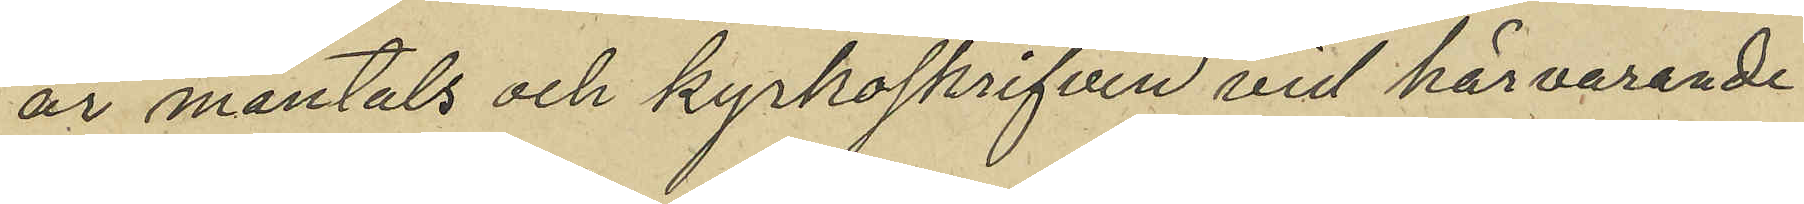är mantals och kyrkoskrifven vid härvarande
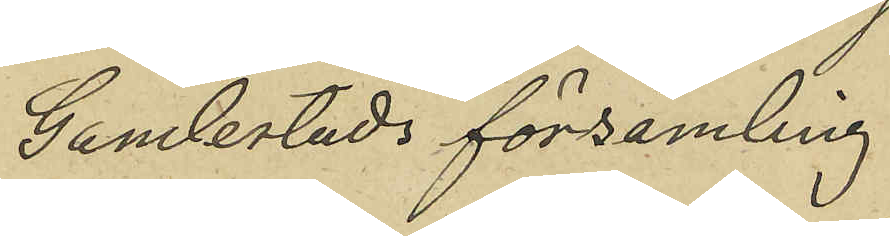Gamlestads församling.
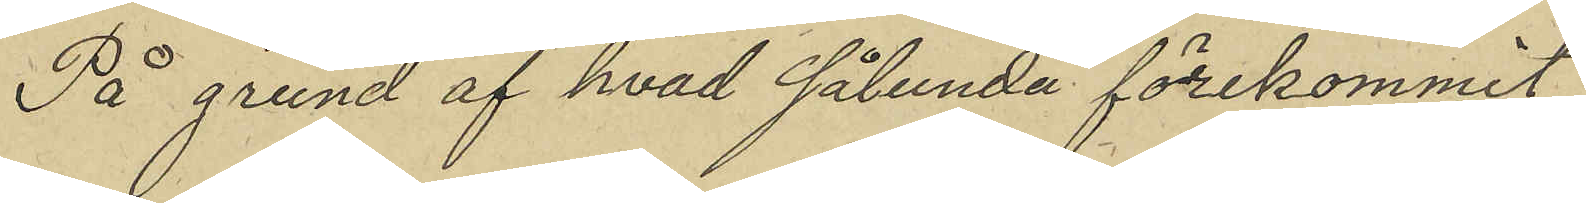På grund af hvad sålunda förekommit
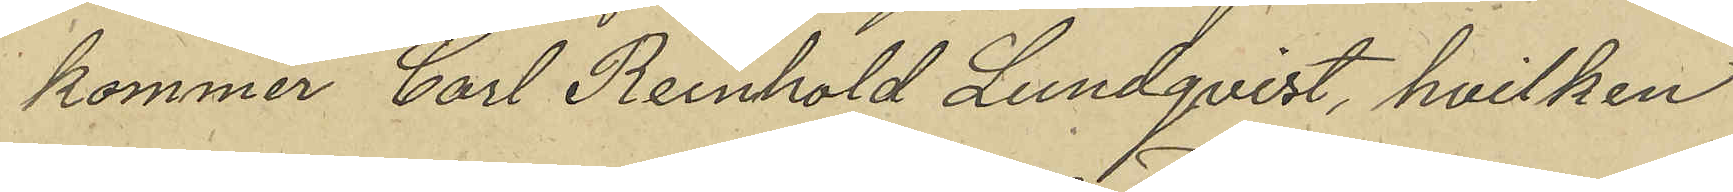kommer Carl Reinhold Lundqvist, hvilken
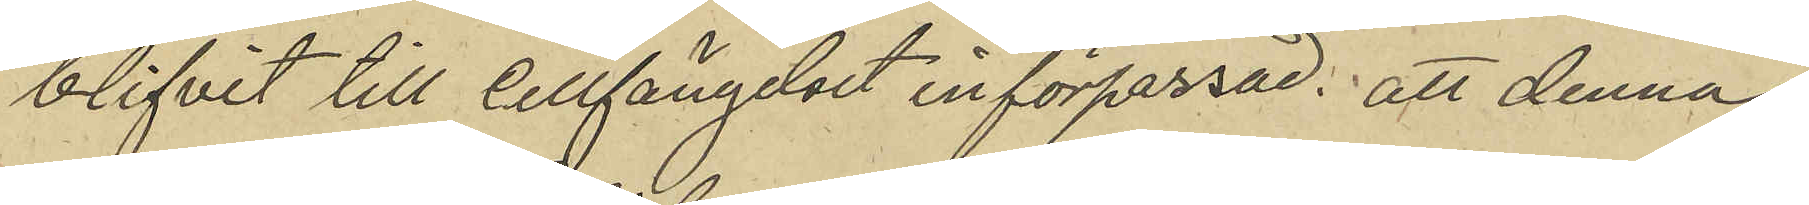blifvit till Cellfängelset införpassad, att denna
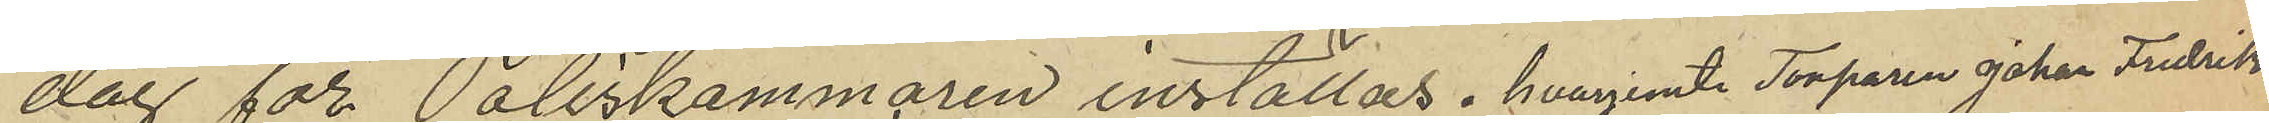dag för Poliskammaren inställas, hvarjemte Torparen Johan Fredrik
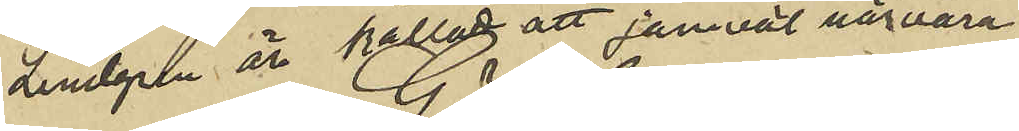Lindgren är kallad att jemväl närvara
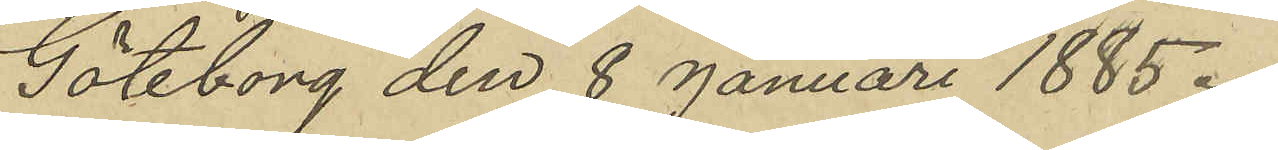Göteborg den 8 Januari 1885.
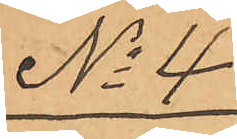No 4
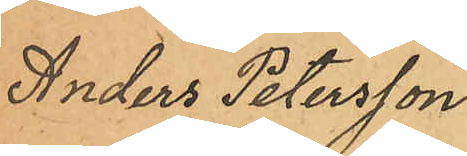Anders Petersson
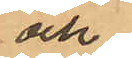och
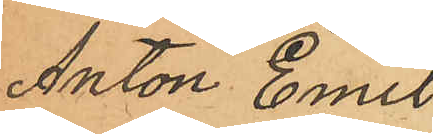Anton Emil
